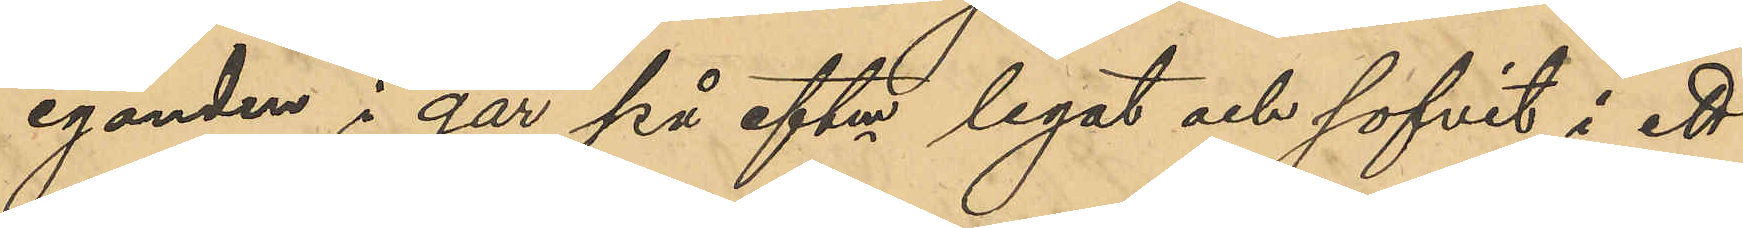eganden i går på eftm legat och sofvit i ett
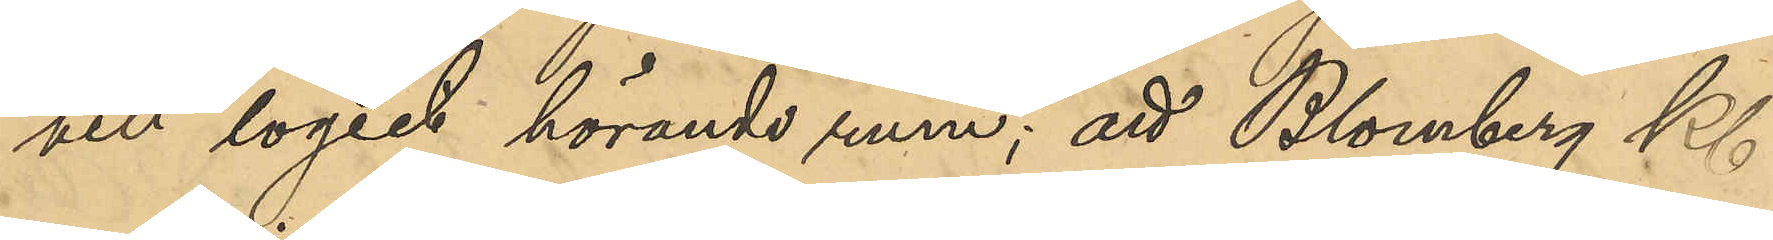till logiet hörande rum; att Blomberg Kl 
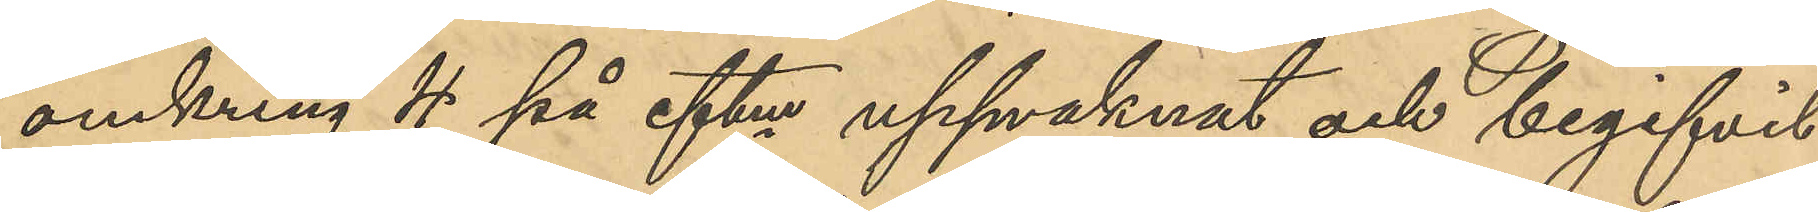omkring 4 på eftm upvaknat och begifvit
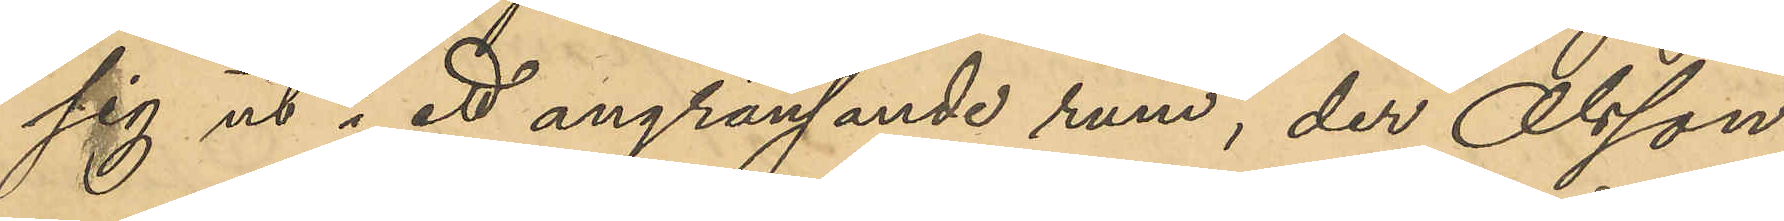sig ut i ett angränsande rum, der Olsson
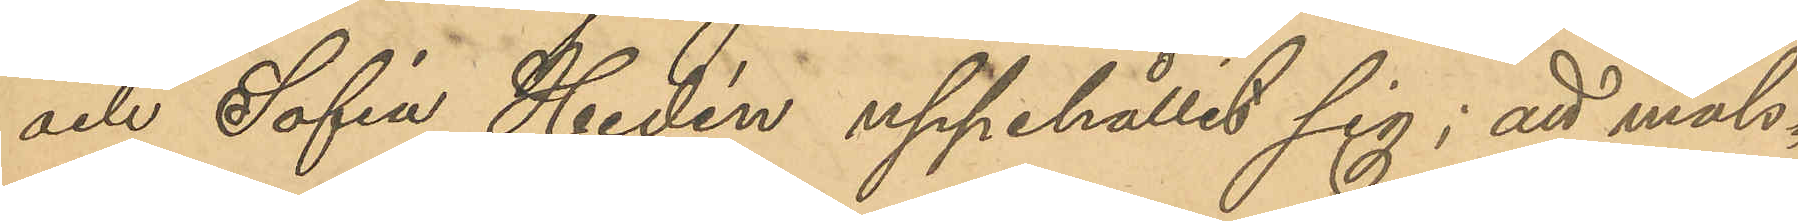och Sofia Hedén uppehållit sig; att måls¬
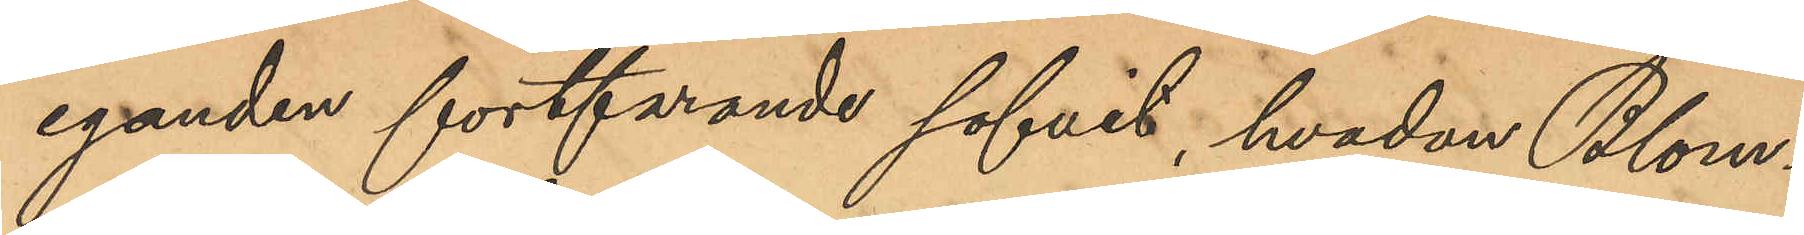eganden fortfarande sofvit, hvadan Blom¬
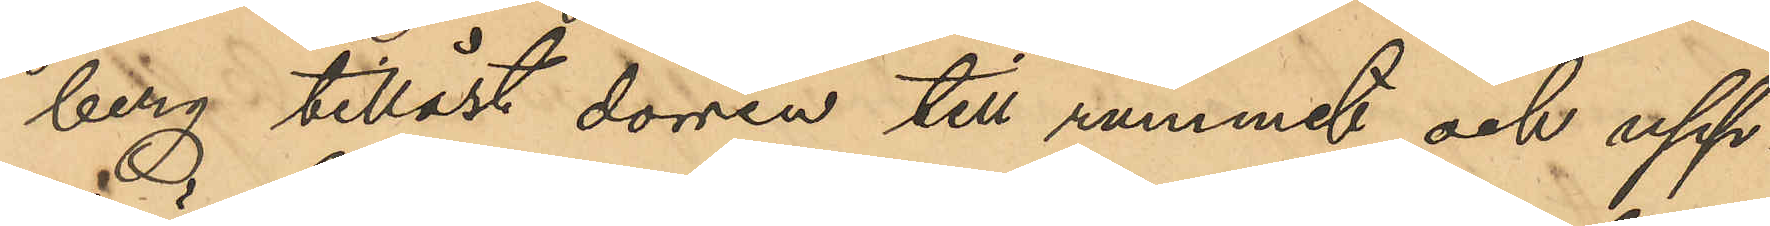berg tillåst dörren till rummet och upp¬
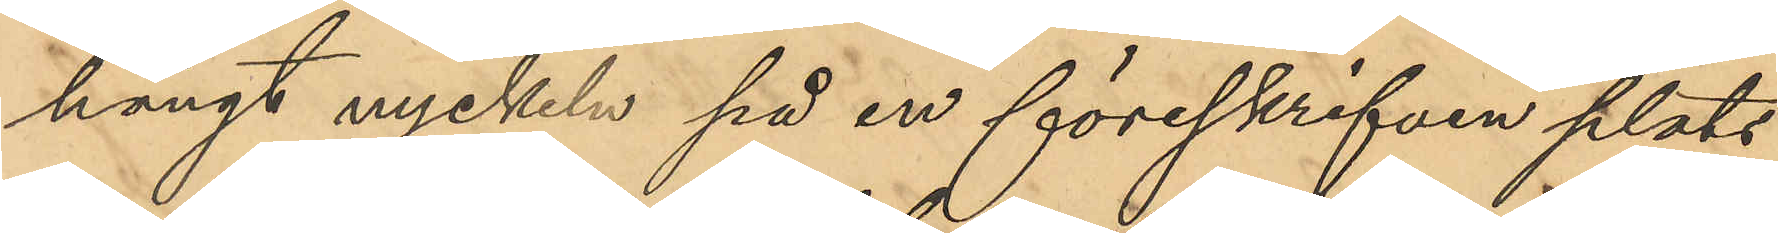hängt nyckeln på en föreskrifven plats
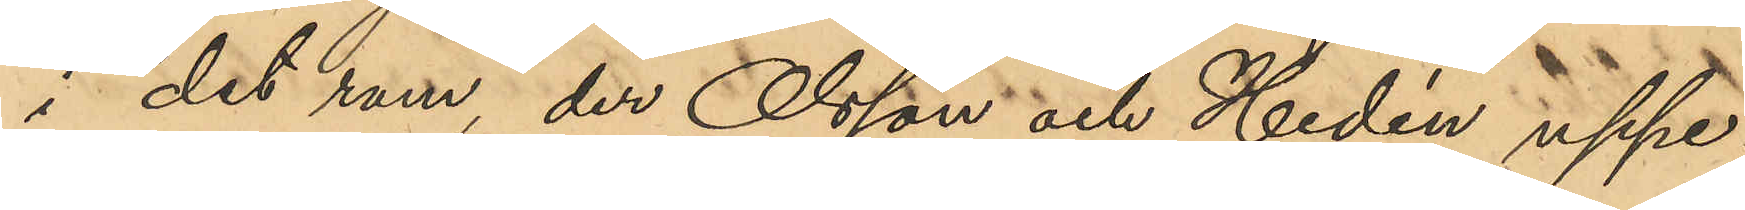i det rum, der Olsson och Hedén uppe¬
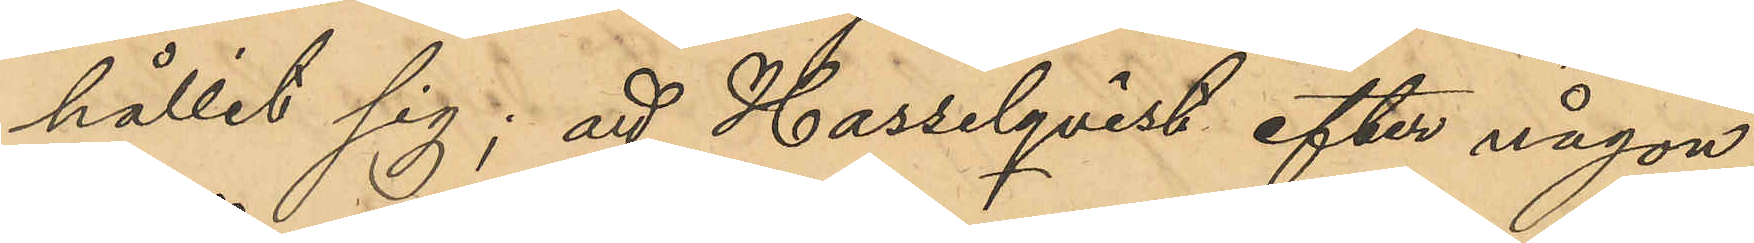hållit sig; att Hasselqvist efter någon
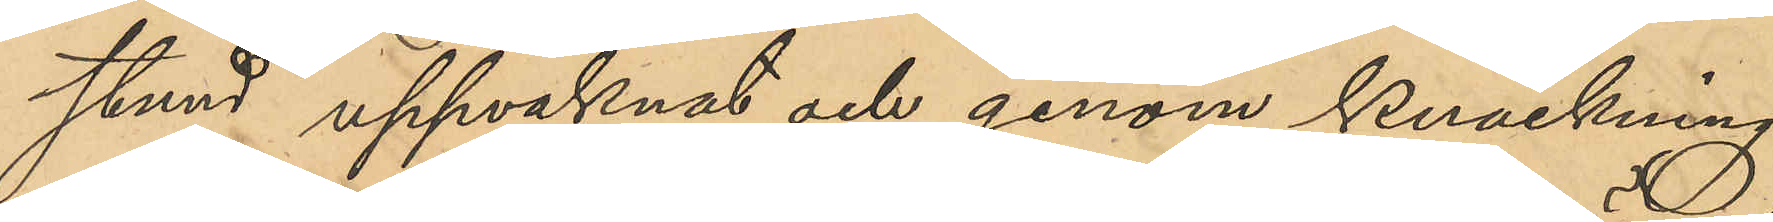stund uppvaknat och genom knackning
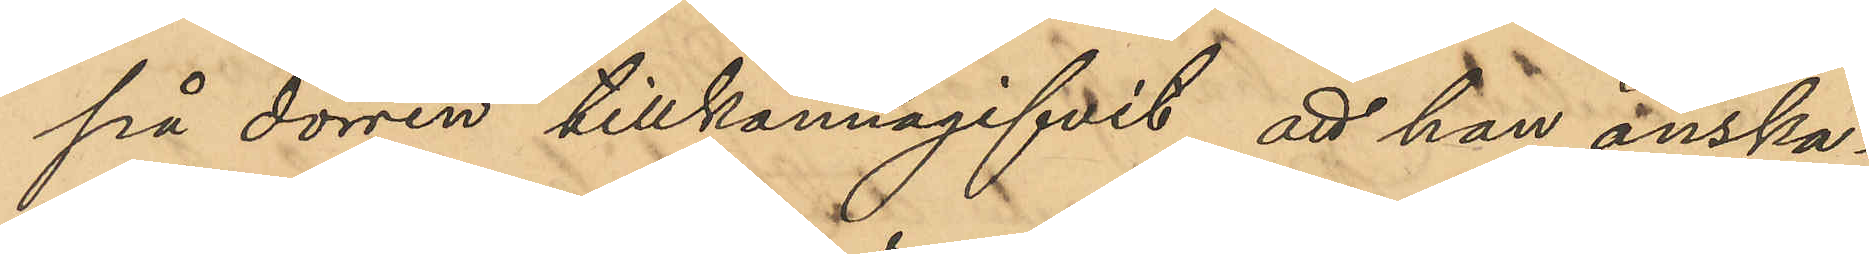på dörren tillkännagifvit att han önska¬
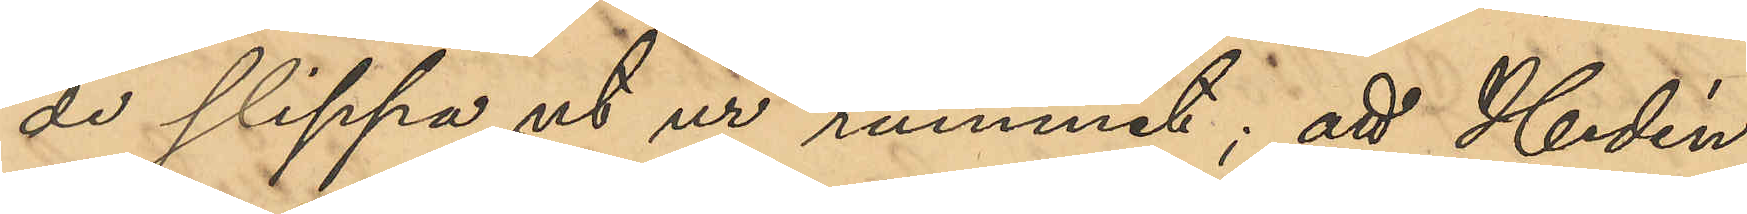de slippa ut ur rummet; att Hedén
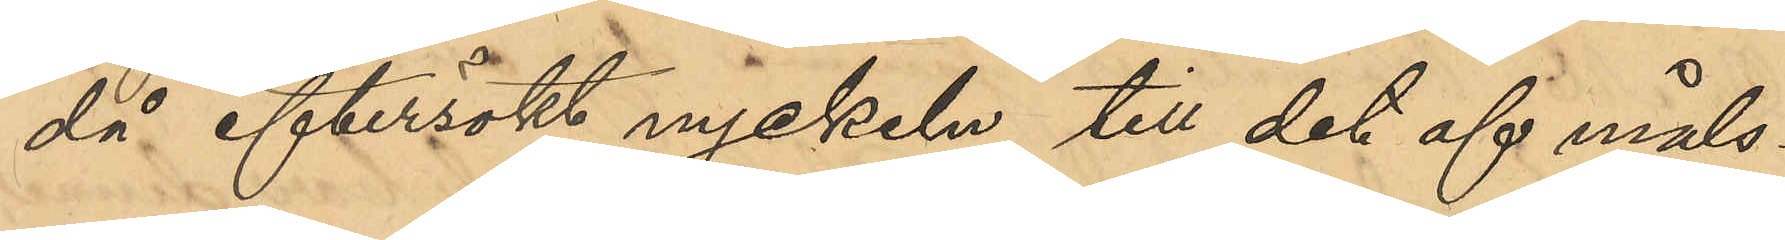då eftersökt nyckeln till det af måls¬
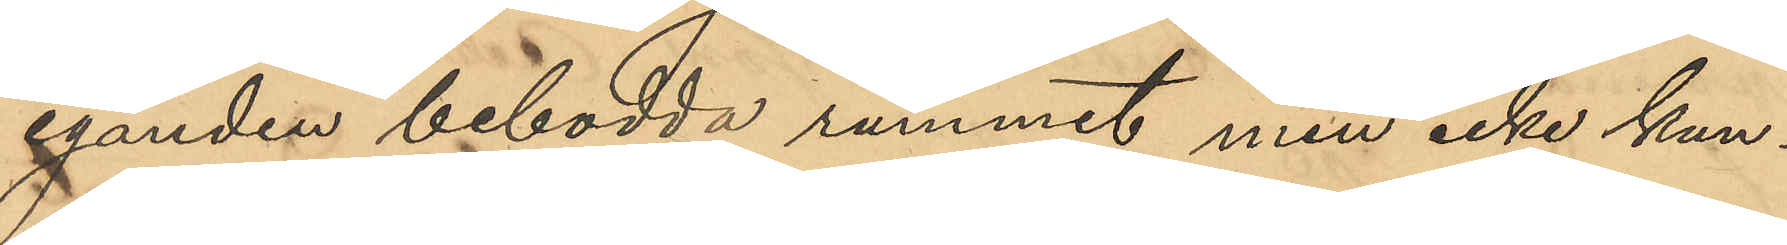eganden bebodde rummet men icke kun¬
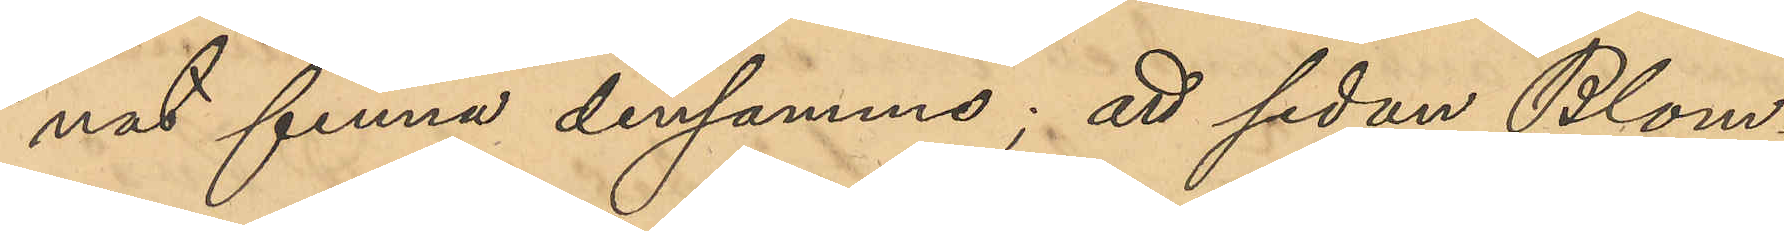nat finna densamma; att sedan Blom¬
